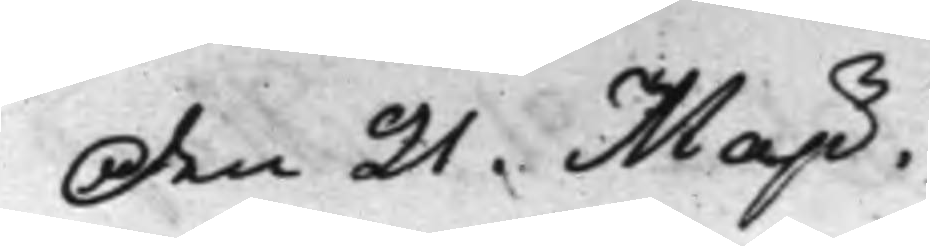Den 21. Maji.
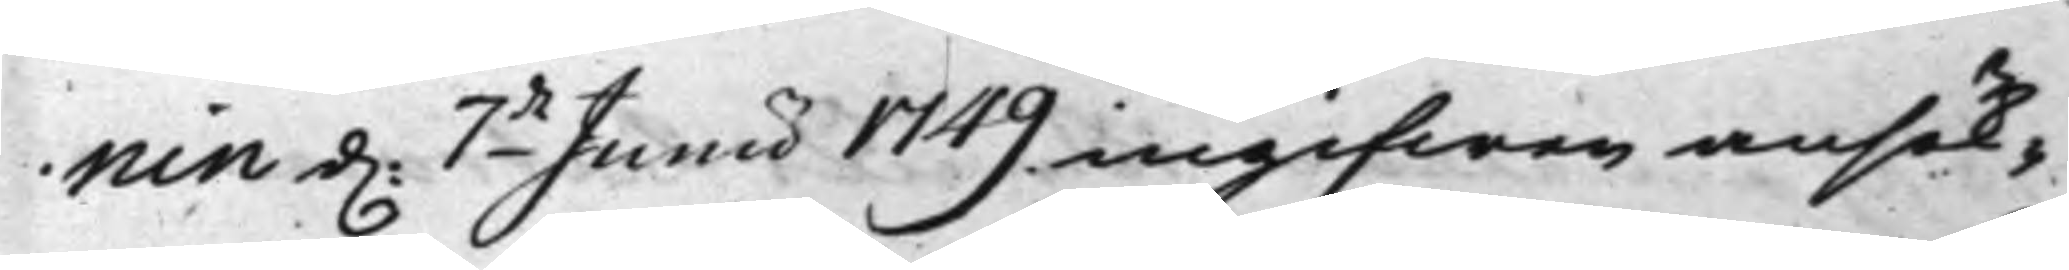nin d. 7de Junii 1749 ingifwen ansök¬
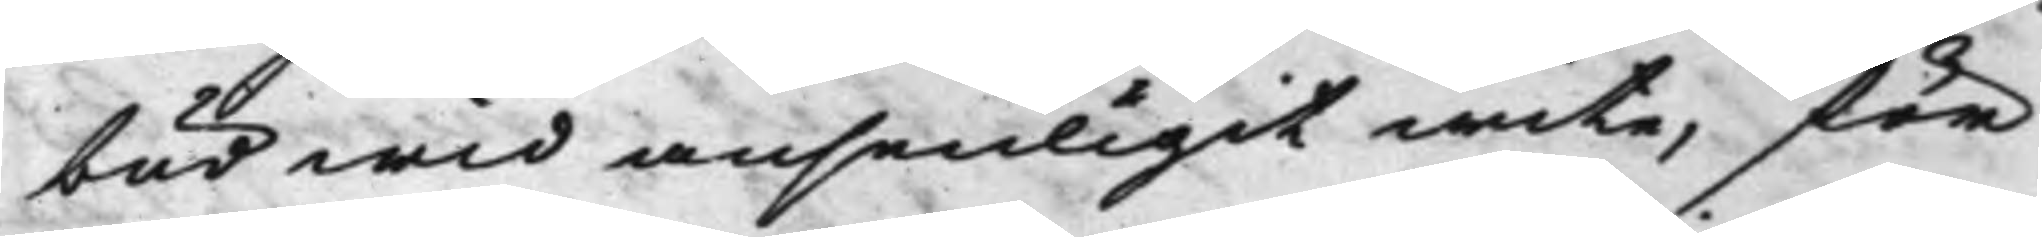bud wid ansenligit wite, för
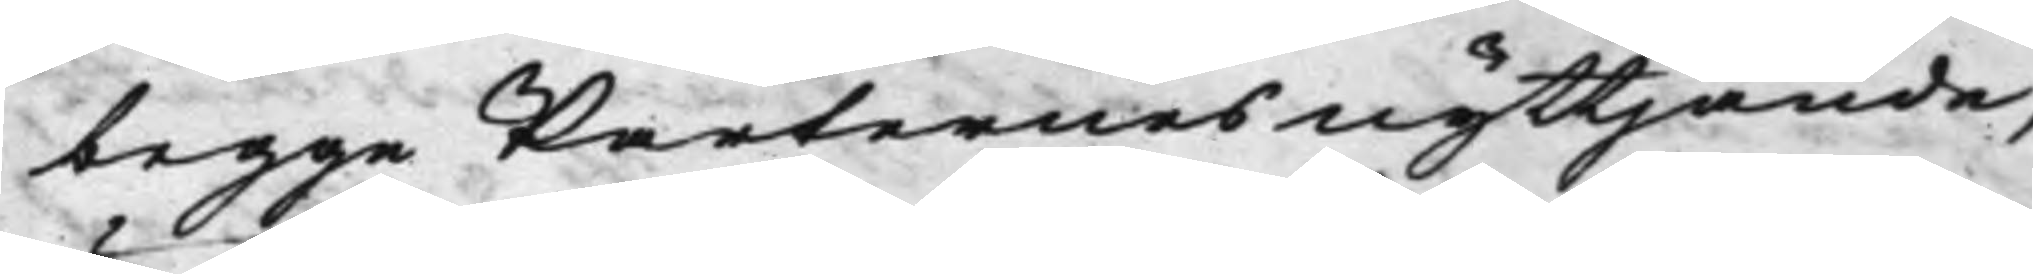begge Parternes nyttjande,
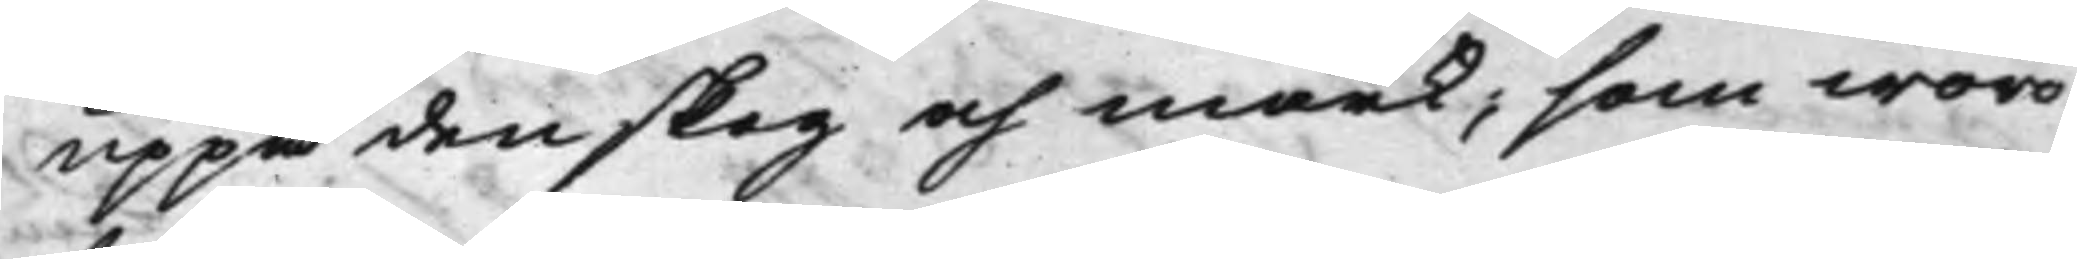uppå den skog och mark, som woro
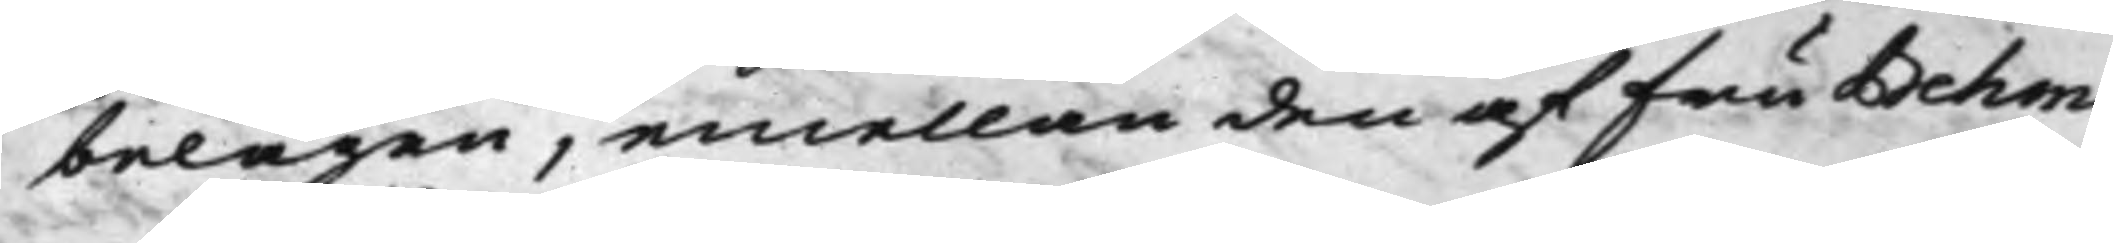belägen, emellan den af Fru Behm
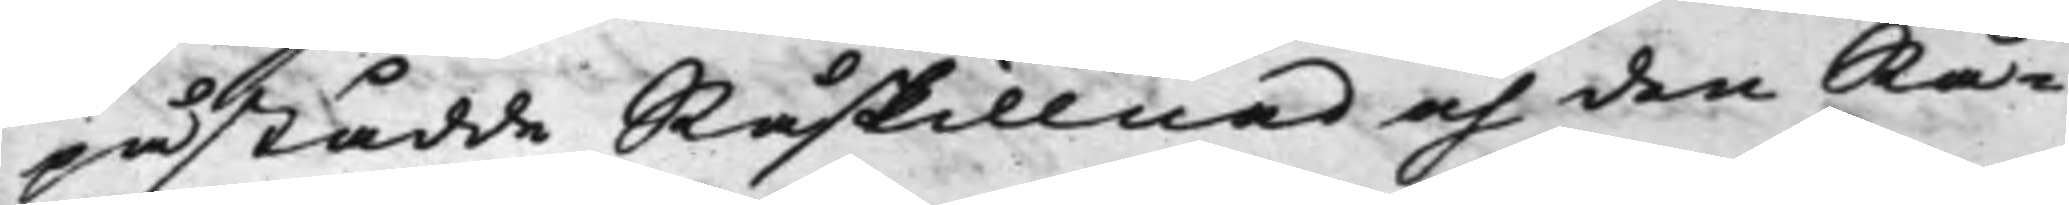påstådde Råskillnad och den Rå¬
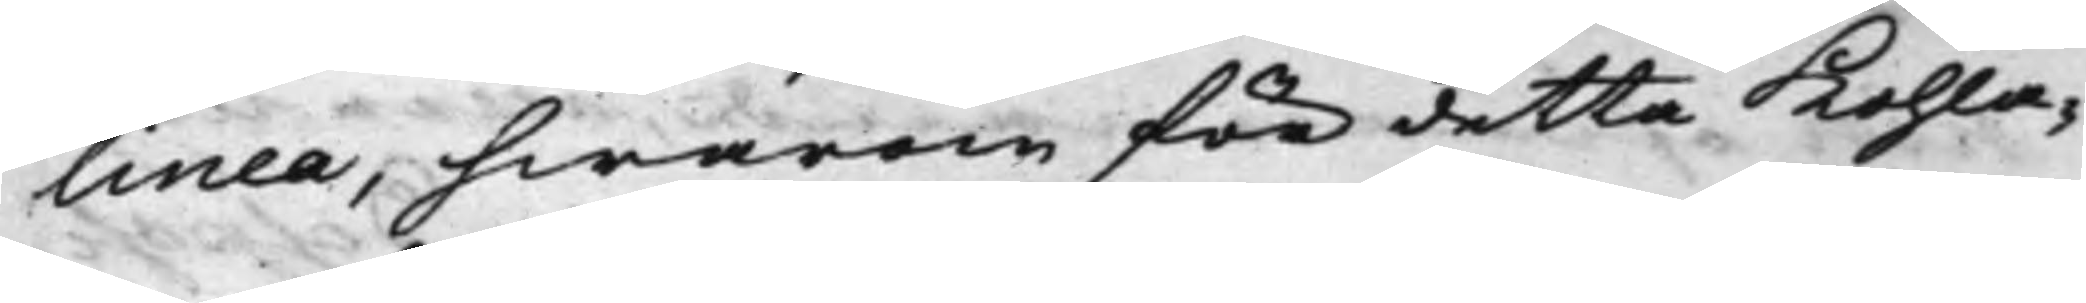linea, hwarom för detta Kohla¬
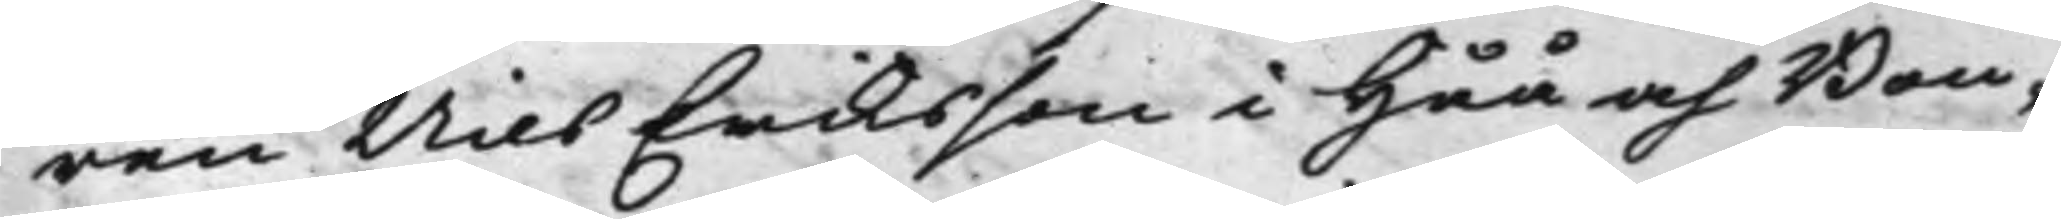ren Nils Eriksson i Håå och Bon¬
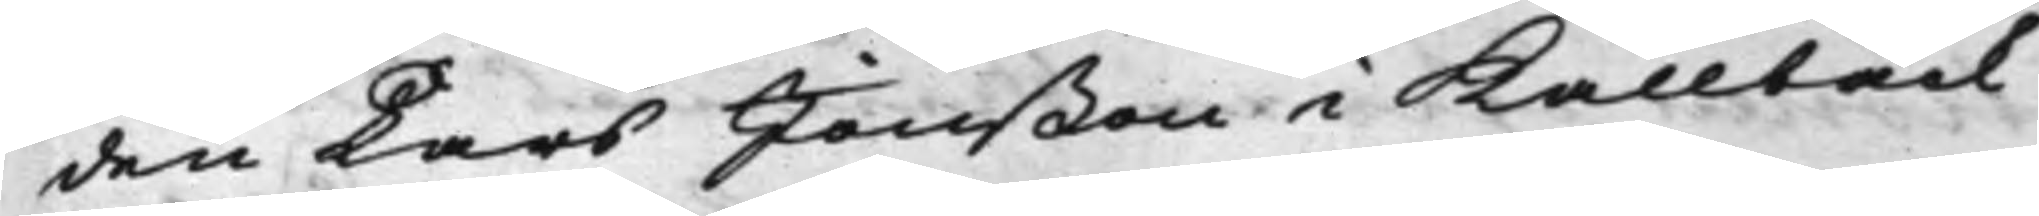den Lars Jonßon i Kallbäck
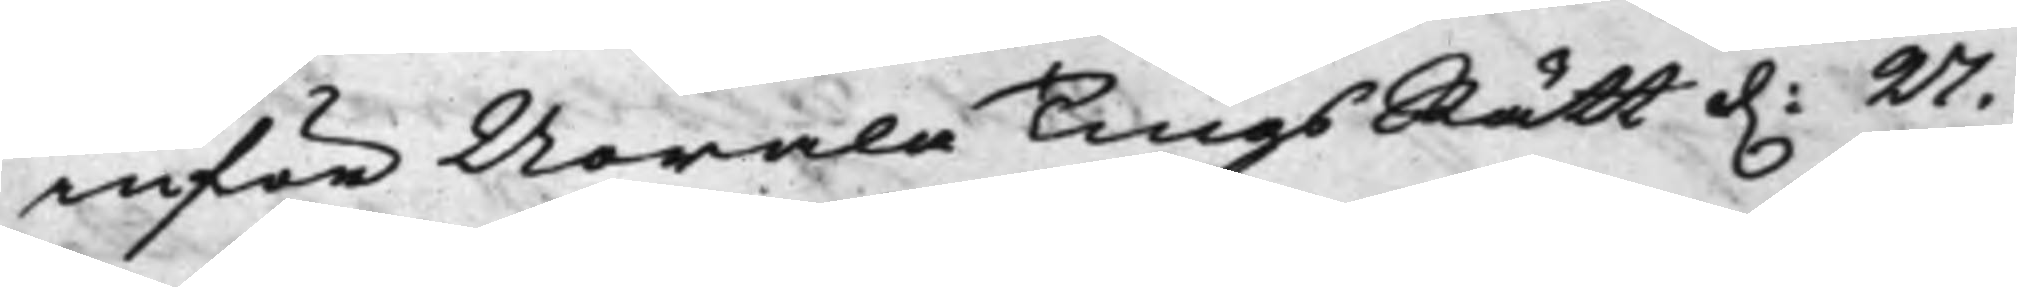inför Norala TingsRätt d. 27.
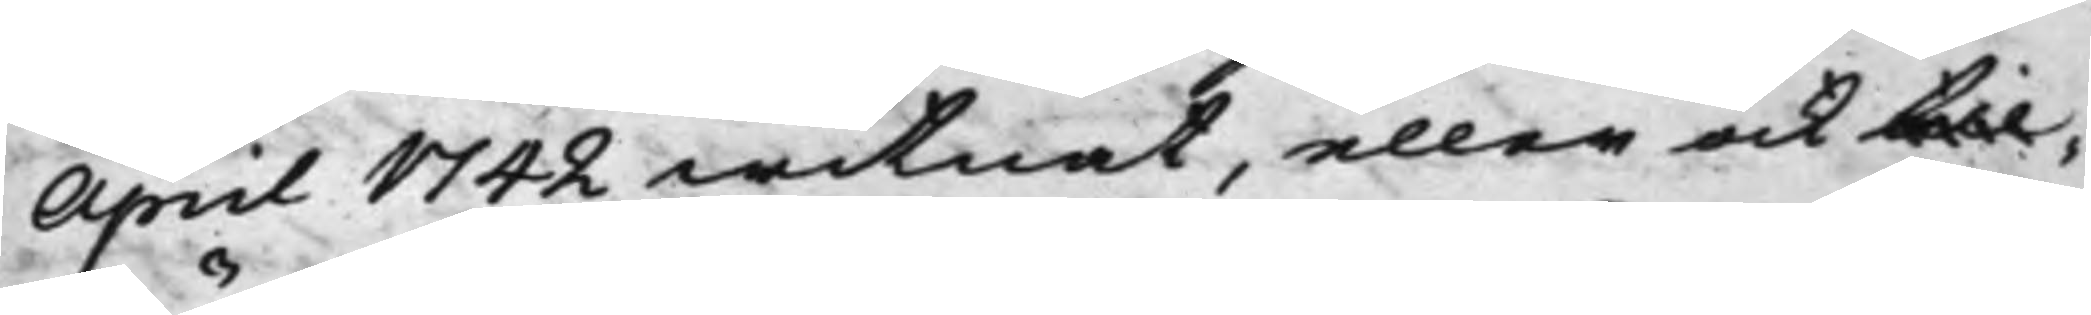April 1742 witnat, eller ock till¬
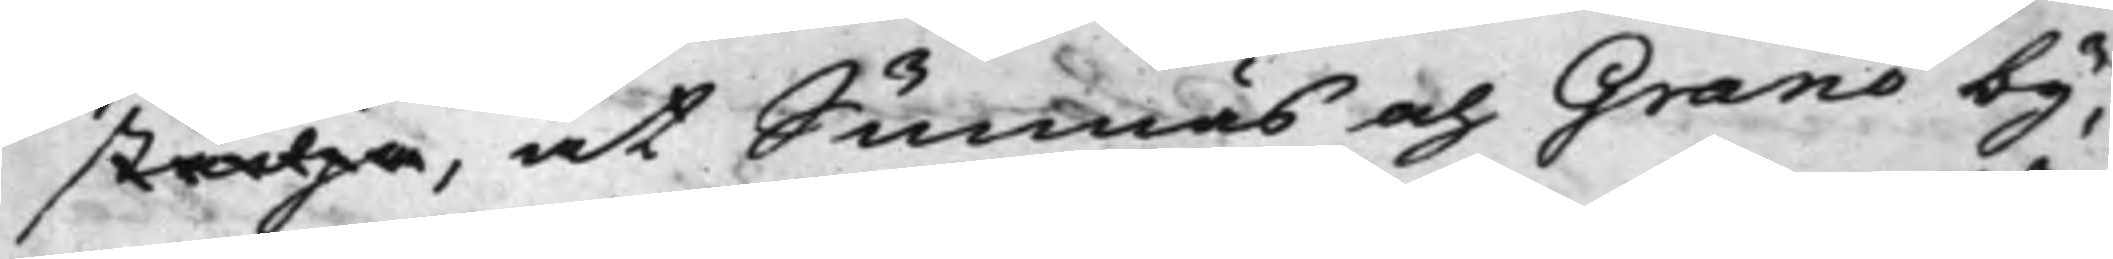städja, at Sunnäs och Granö by¬
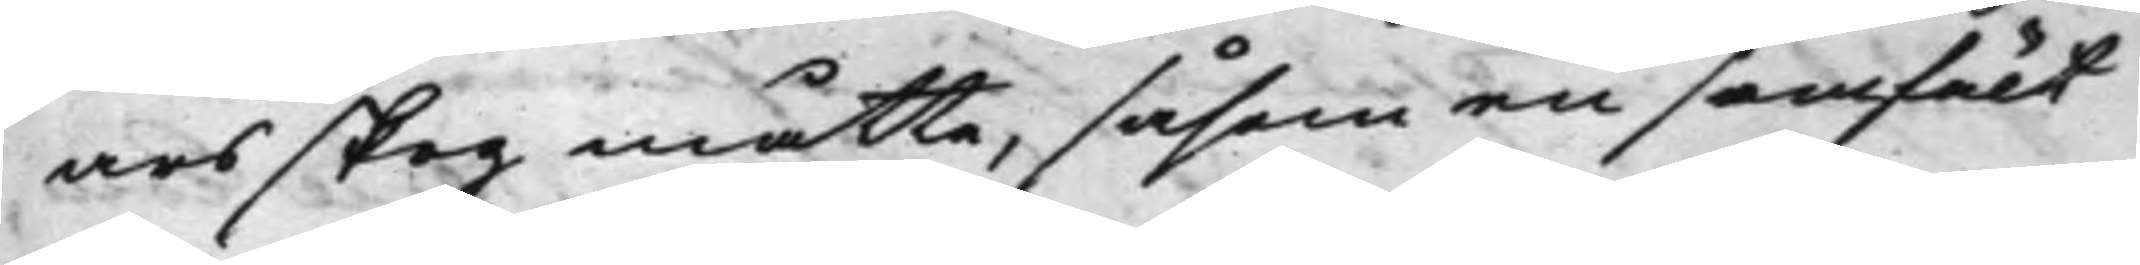ars skog måtte, såsom en samfält
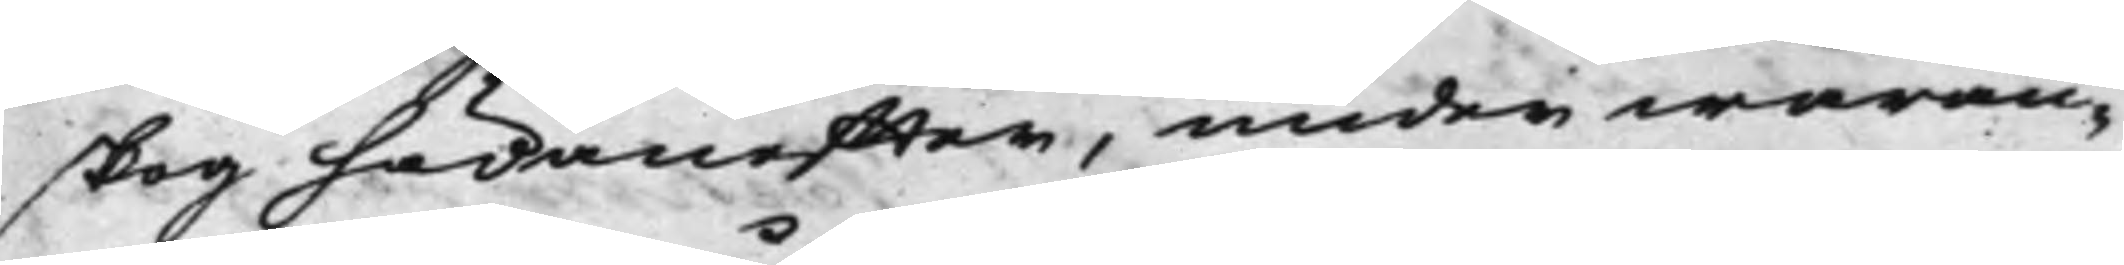skog hädaneffter, under waran¬
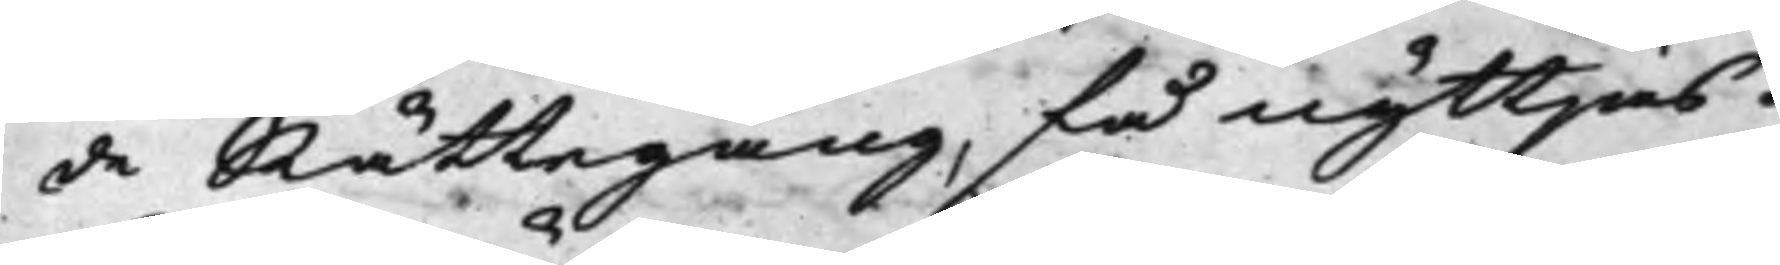de Rättegång, få nyttjas.
